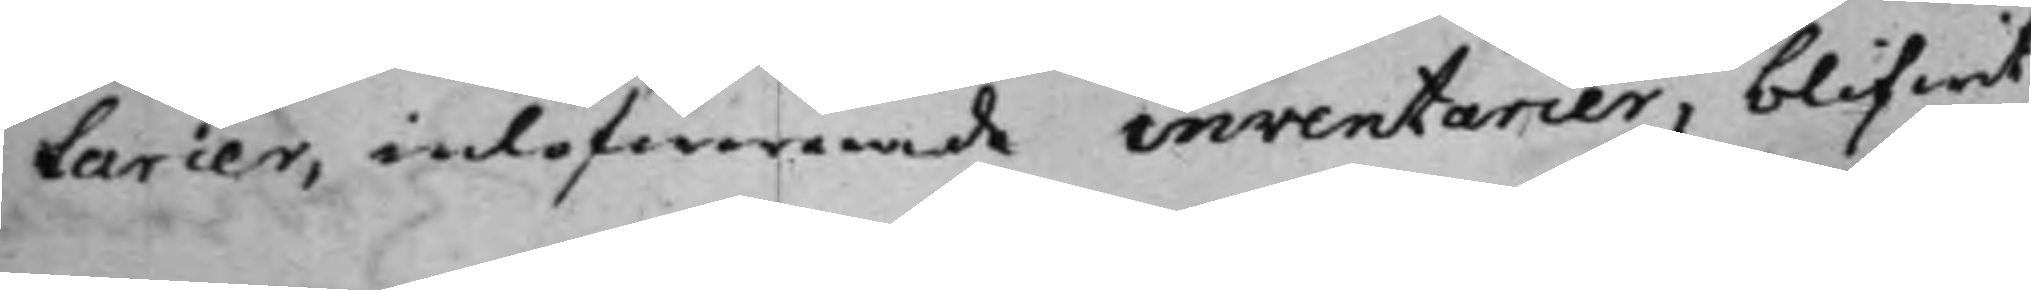tarier, inlefwererade inventarier, blifwit
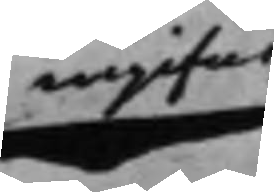ingifne
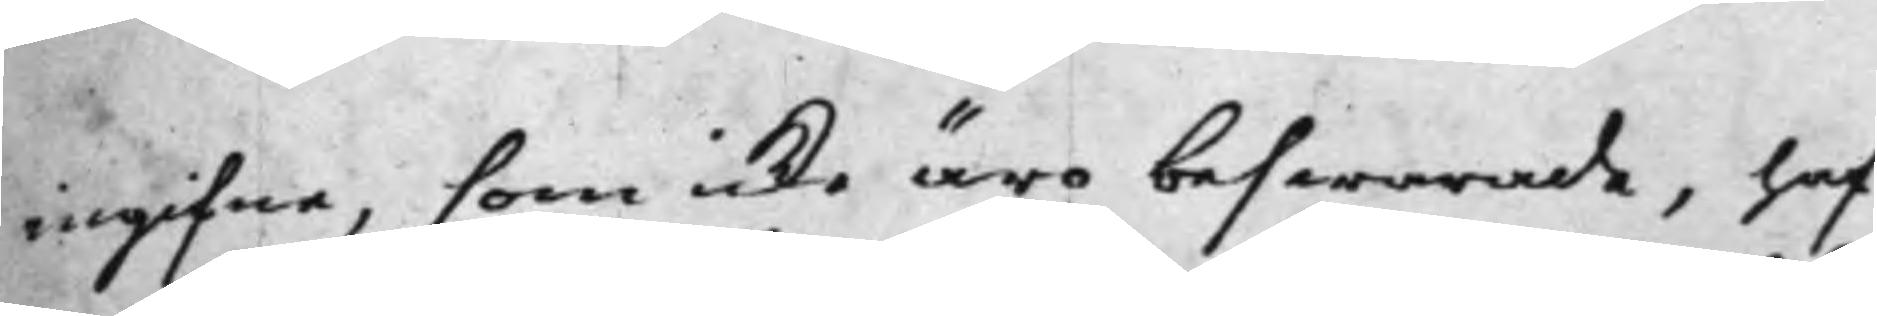ingifne, som icke äro beswarade, haf¬
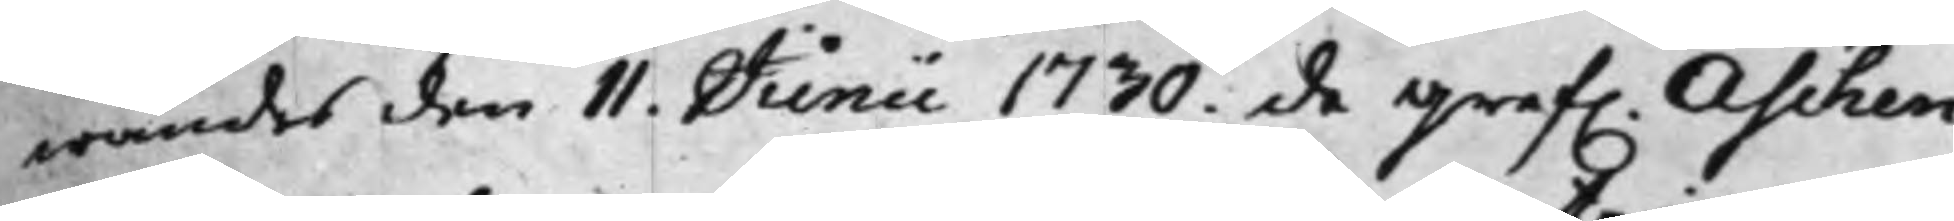wandes den 11. Junii 1730. de Gref. Aschen¬
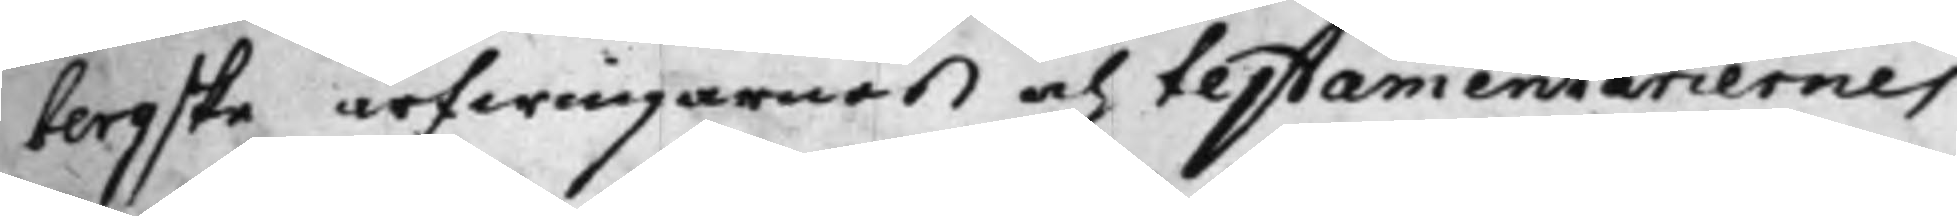bergske arfwingarnes och testamentariernes
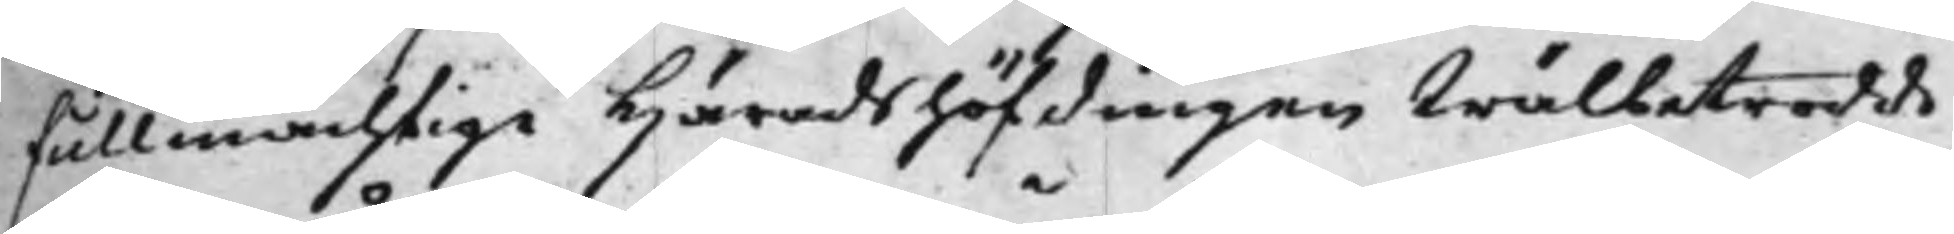fullmächtige Häradshöfdingen Wälbetrodde
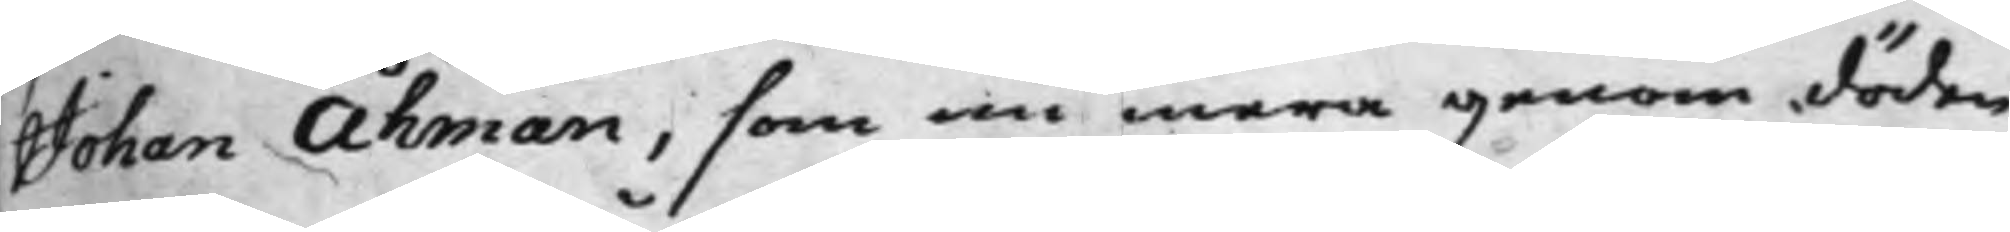Johan Åhman, som nu mera genom döden
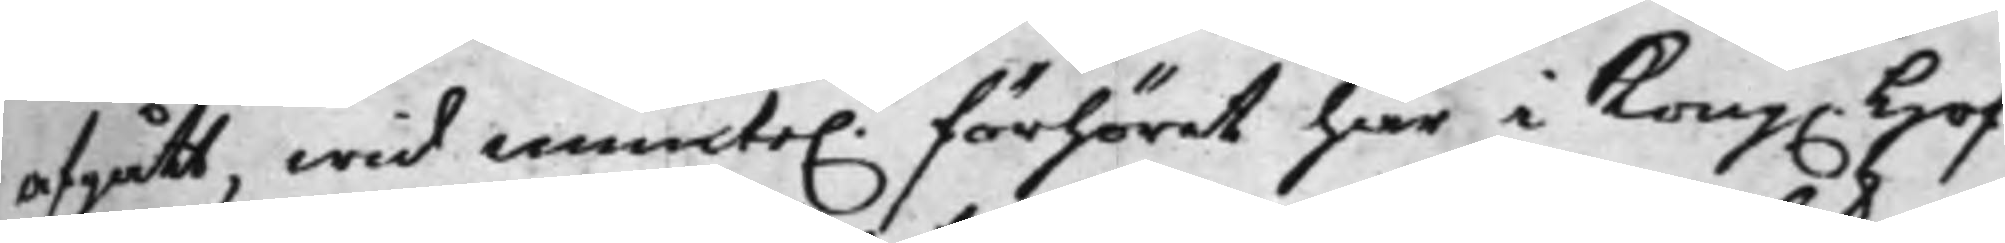afgått, wid munte. förhöret här i Kong. Hof¬
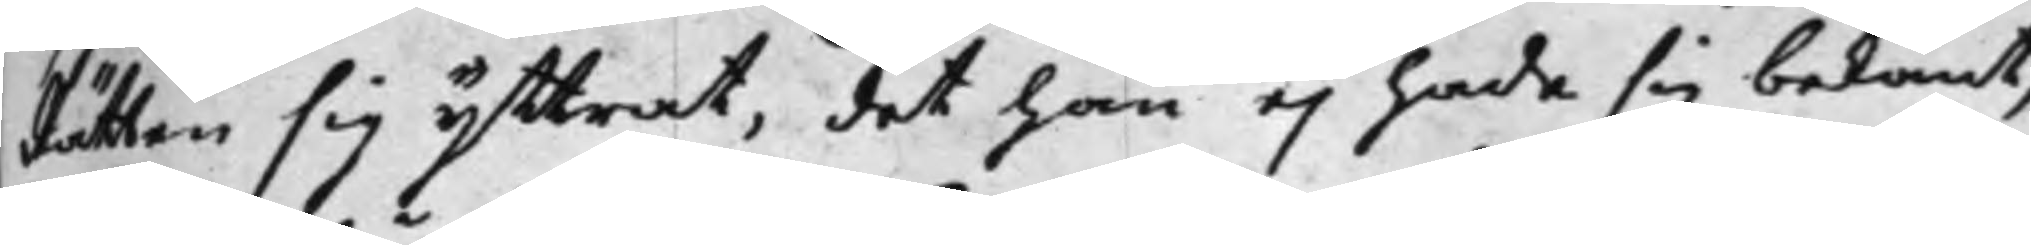Rätten sig yttrat, det han ej hade sig bekant,
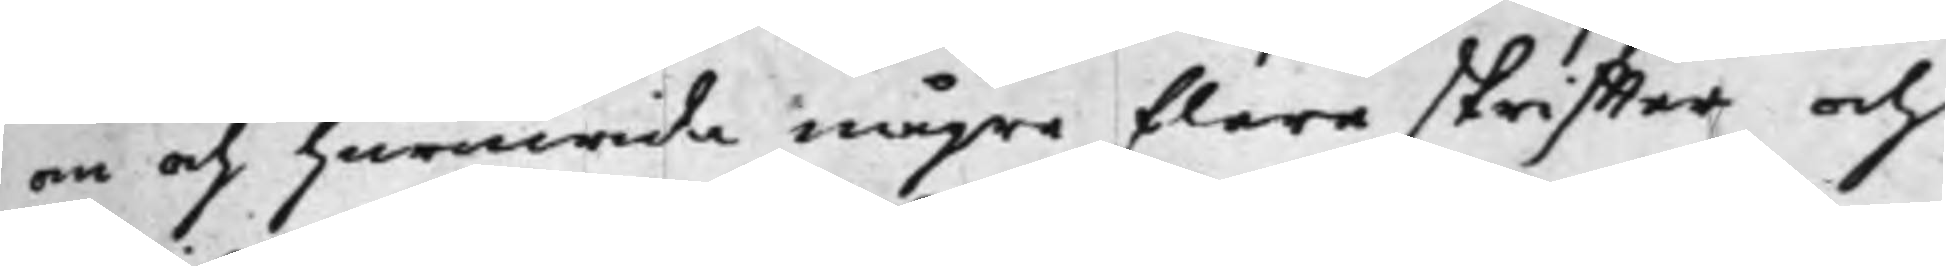om och huruwida någre flera skriffter och
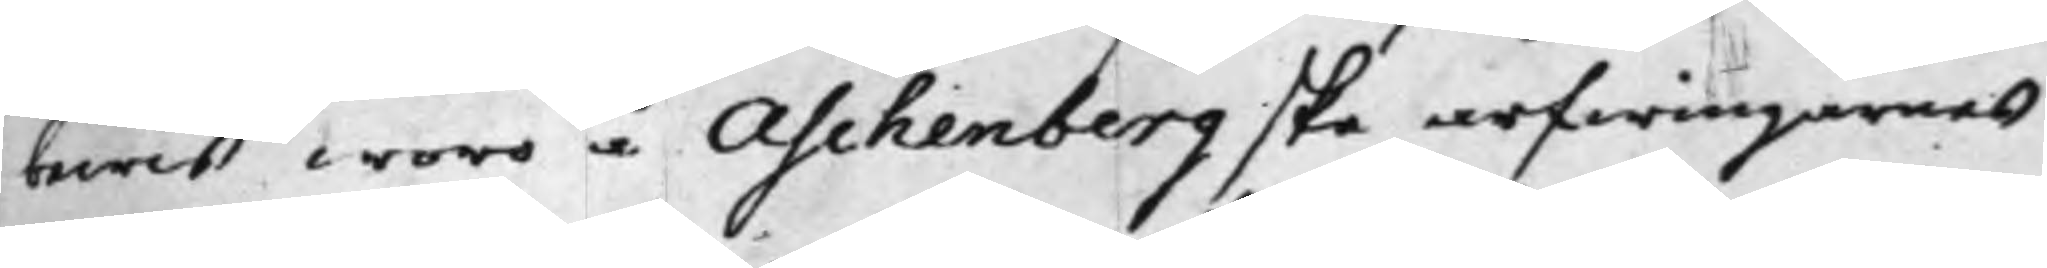bewis woro å Aschenbergske arfwingarnes
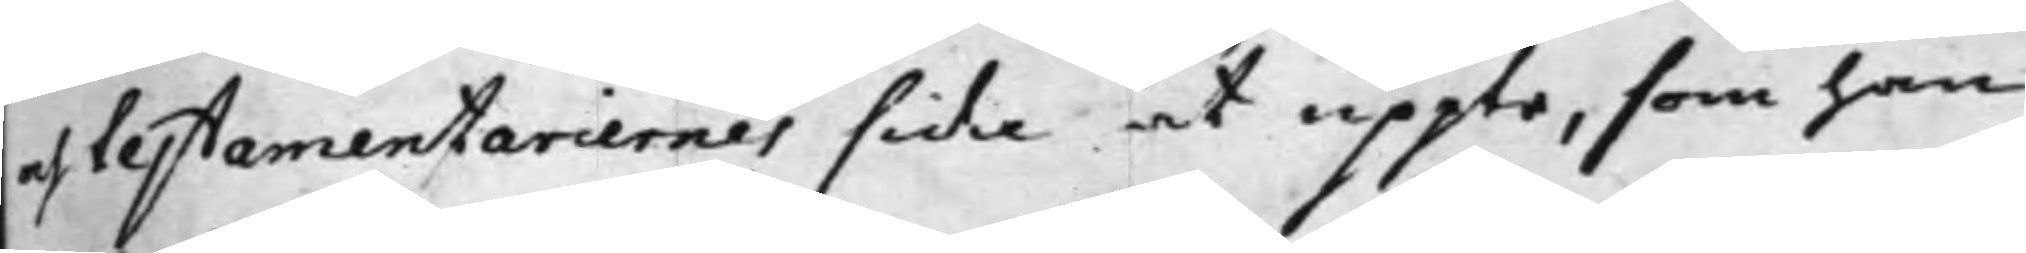och testamentariernes sida at uppte, som han
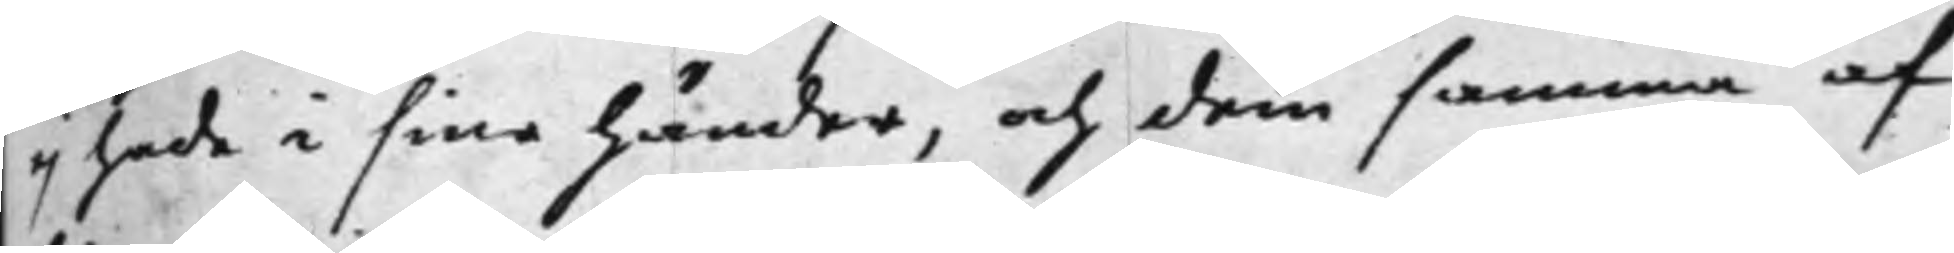ej hade i sina händer, och dem samma af
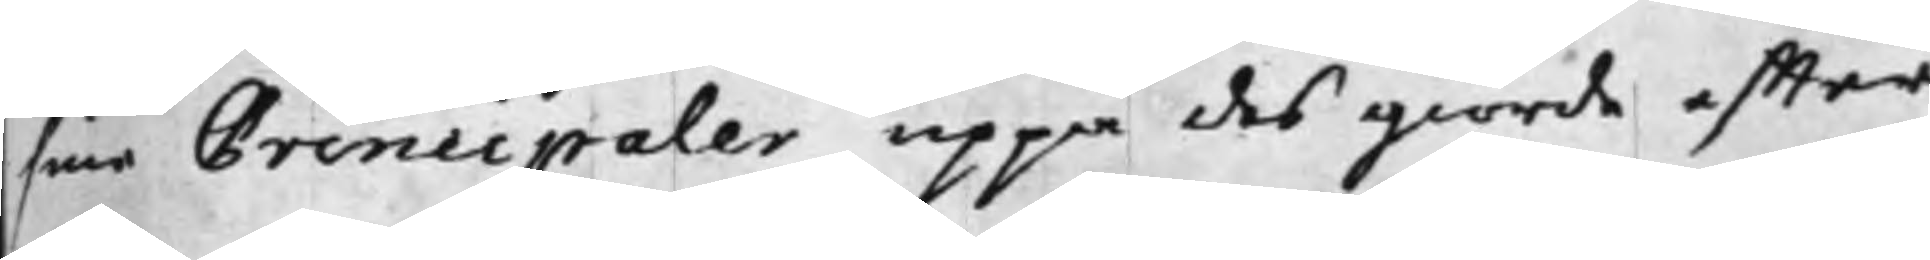sine Principaler uppå des giorde effter¬
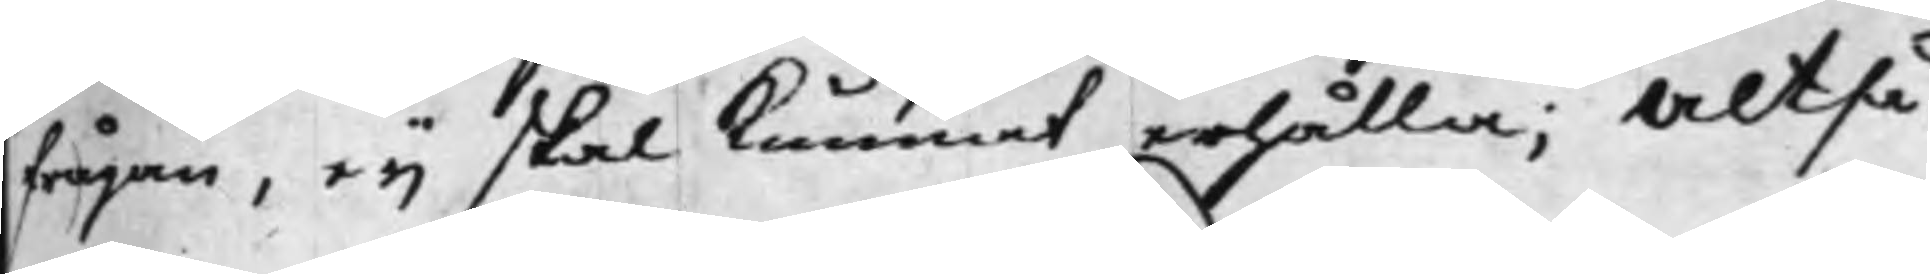frågan, ej skal kunnat erhålla; Altså
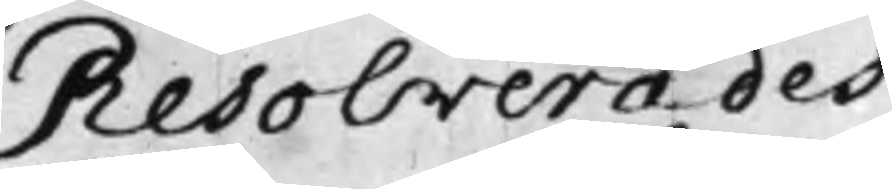Resolverades
